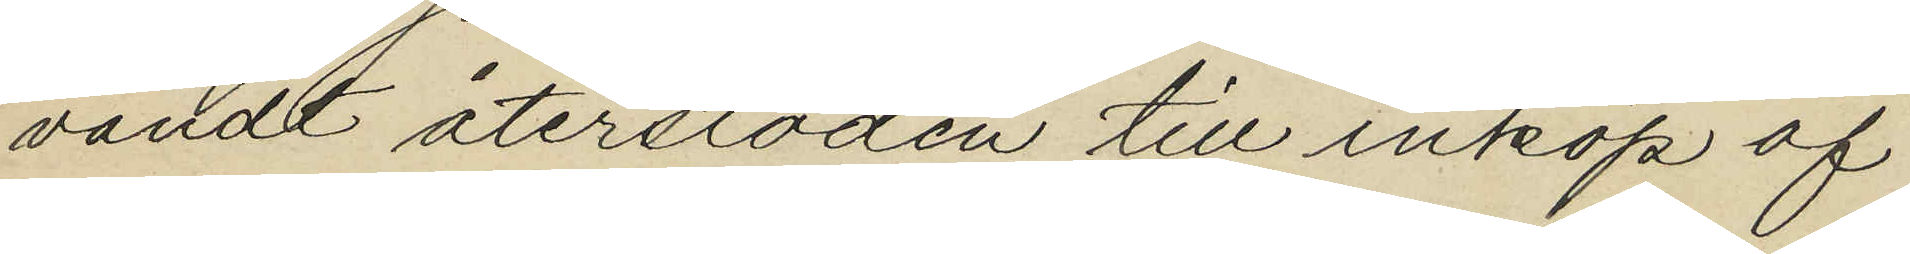vändt återstoden till inköp af
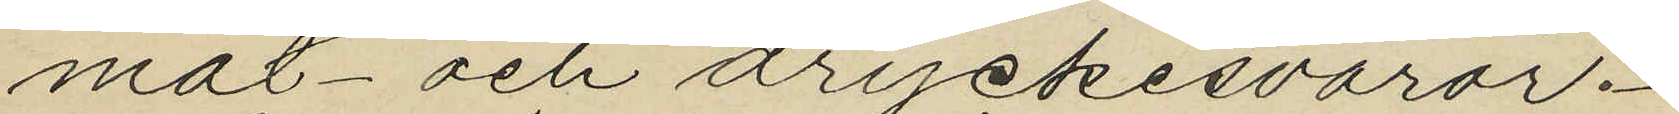mat och dryckesvaror.
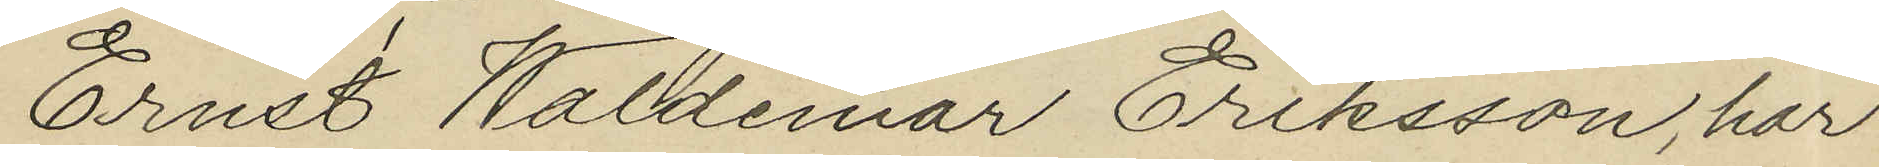Ernst Waldemar Eriksson, har
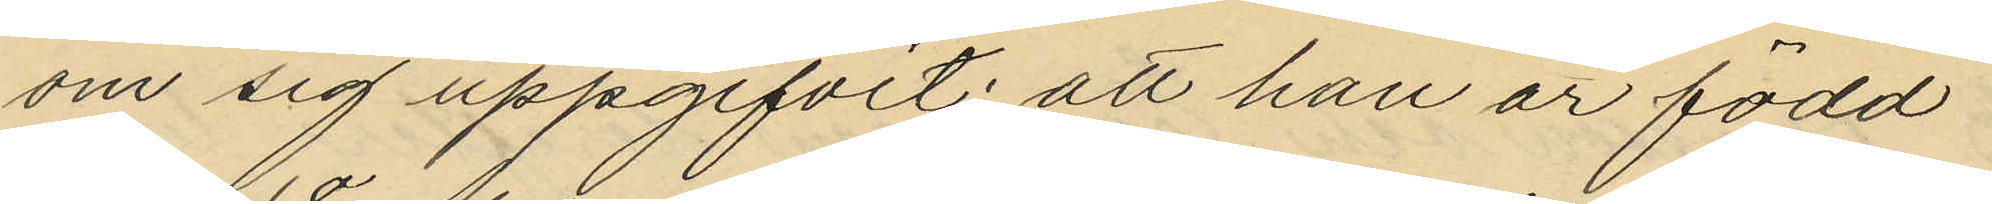om sig uppgifvit att han är född
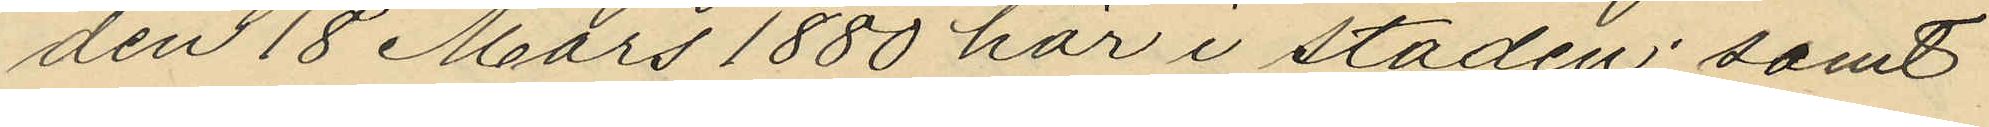den 18 Mars 1880 här i staden; samt
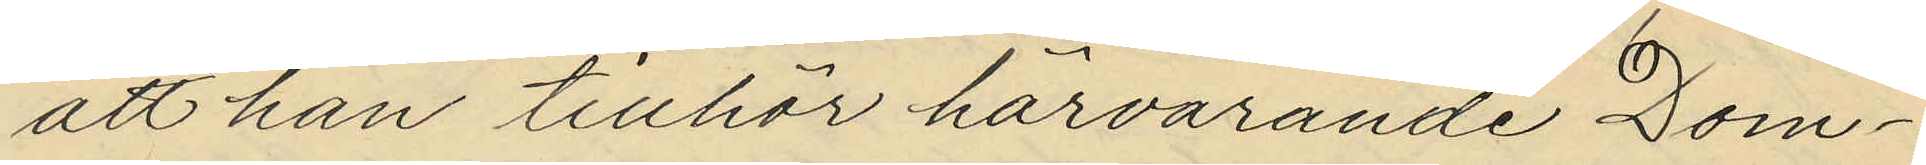att han tillhör härvarande Dom¬
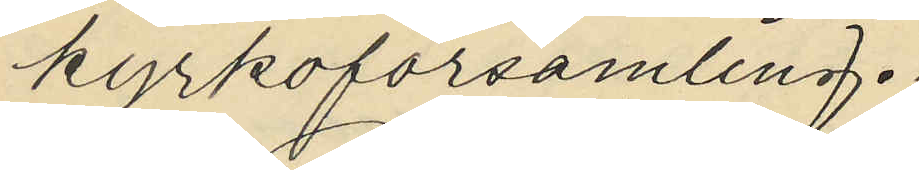kyrkoförsamling.
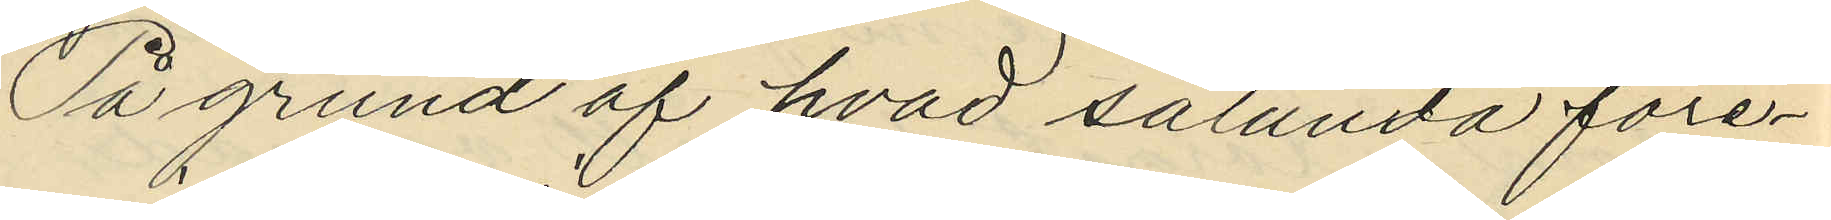På grund af hvad sålunda före¬
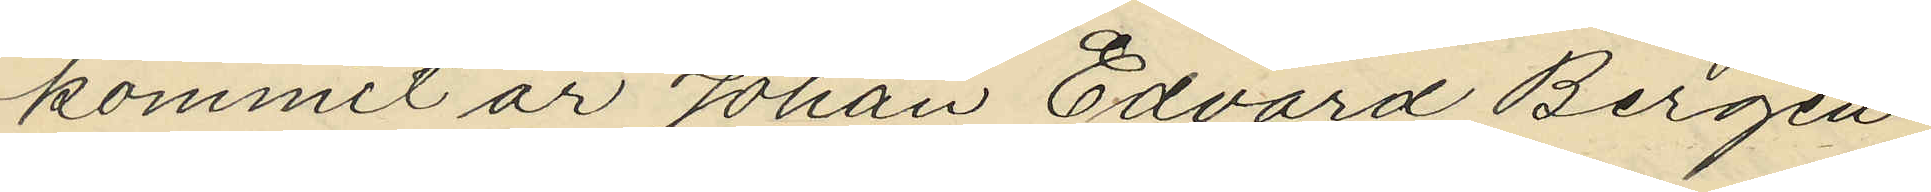kommit är Johan Edvard Bergen¬
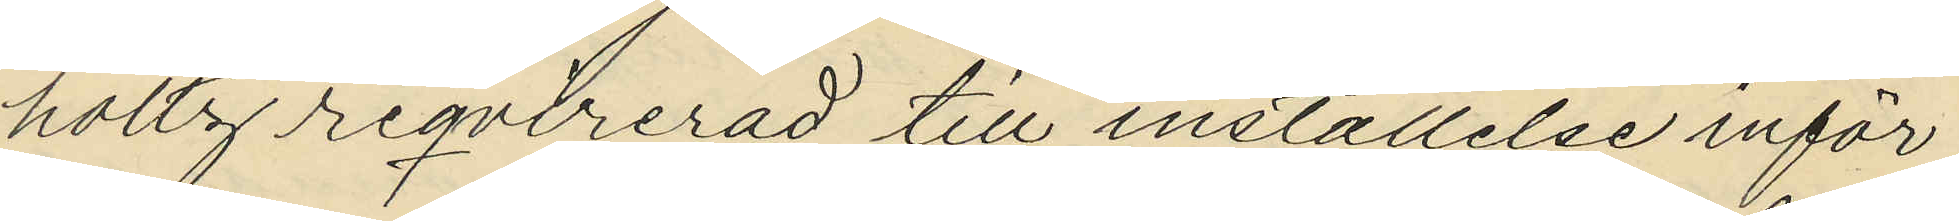holtz reqvirerad till inställelse inför
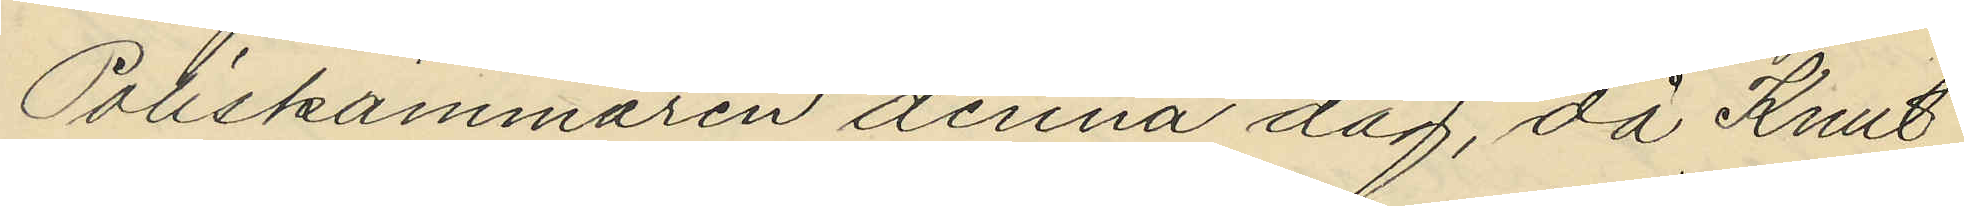Poliskammaren denna dag, då Knut
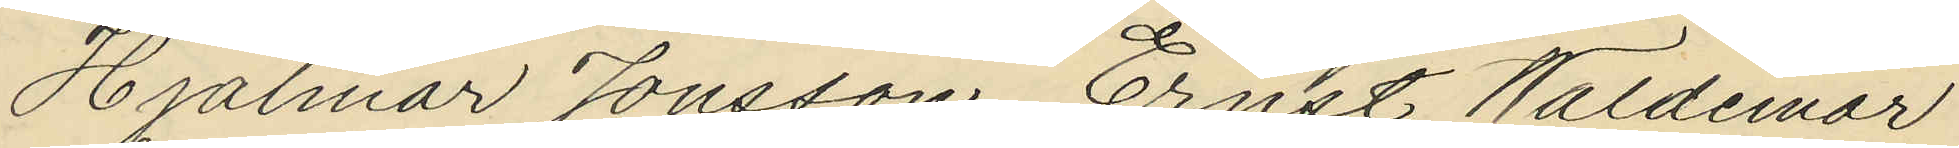Hjalmar Jonsson, Ernst Waldemar
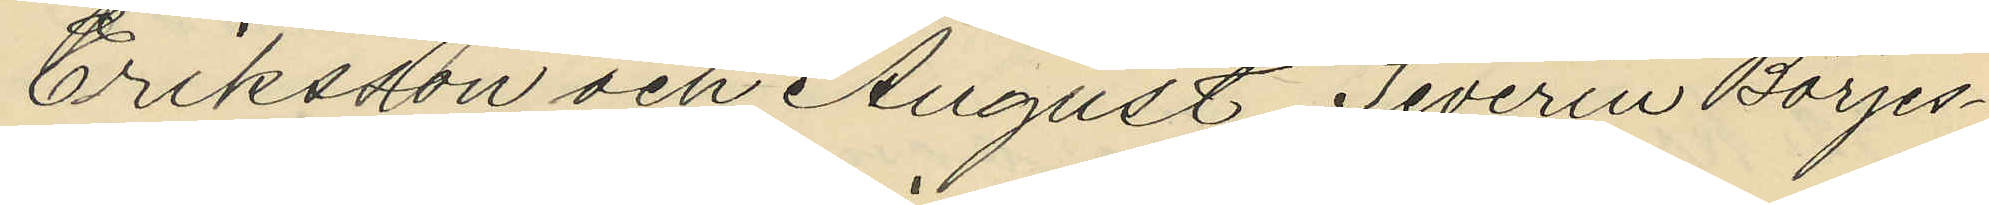Eriksson och August Severin Börjes¬
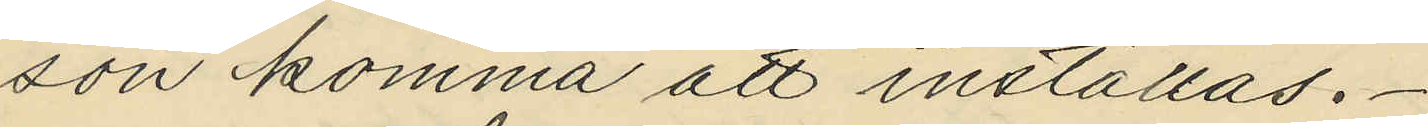son komma att inställas.
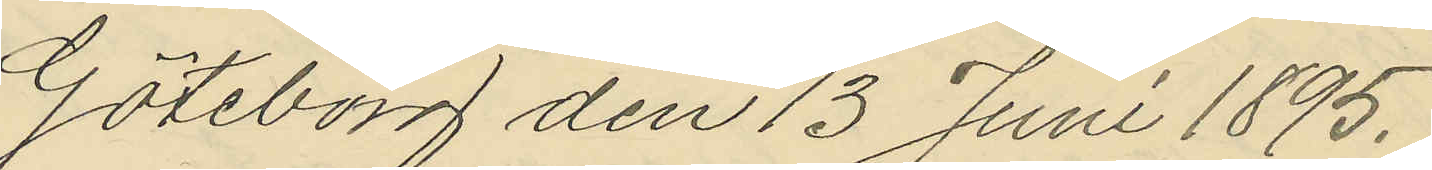Göteborg den 13 Juni 1895.
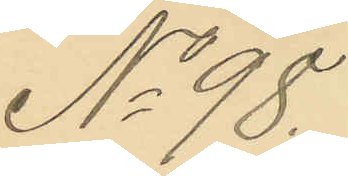No 98.
